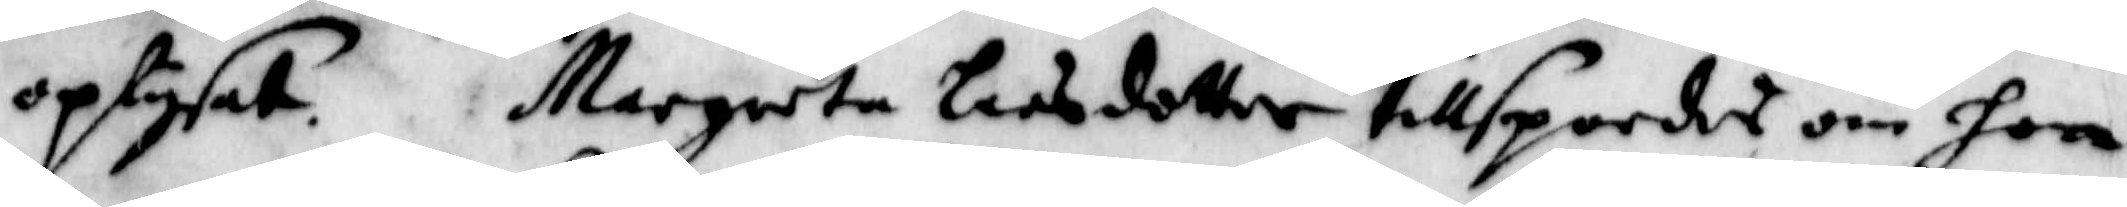oplysat. Margreta Larsdotter tillspordes om hon
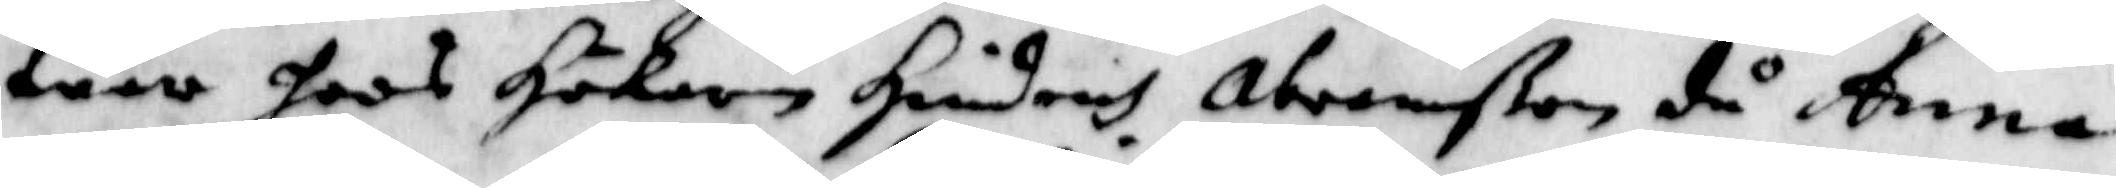war hoos Hökaren Hoindrich Abramßon då Anna
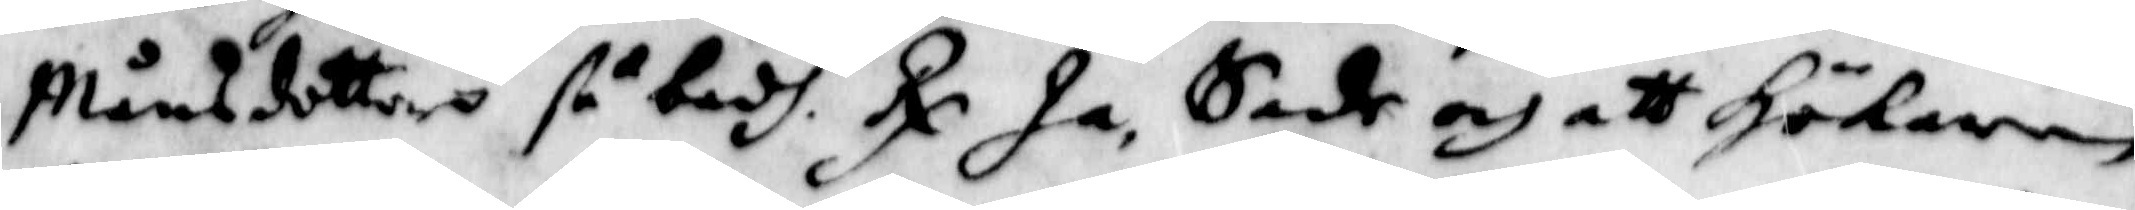Månsdotters så badh. Rx Ja, Sade och att Hökaren
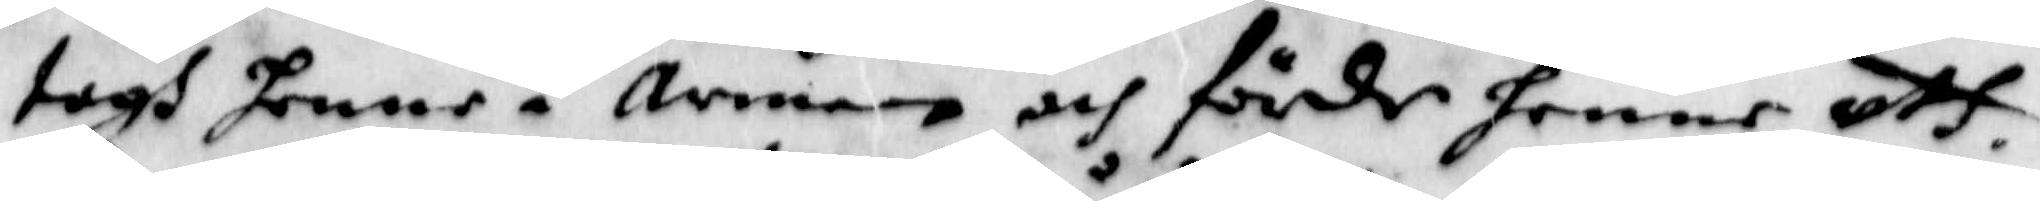togh henne i armen och förde henne uth.
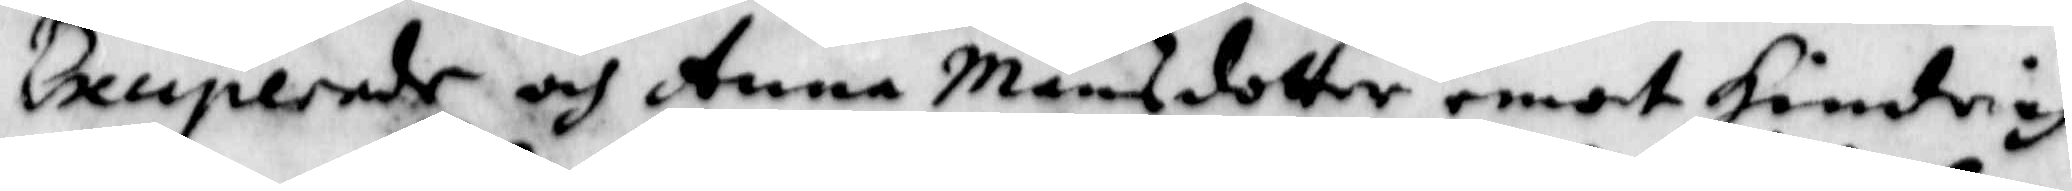Exciperade och Anna Månsdotter emot Hindrich
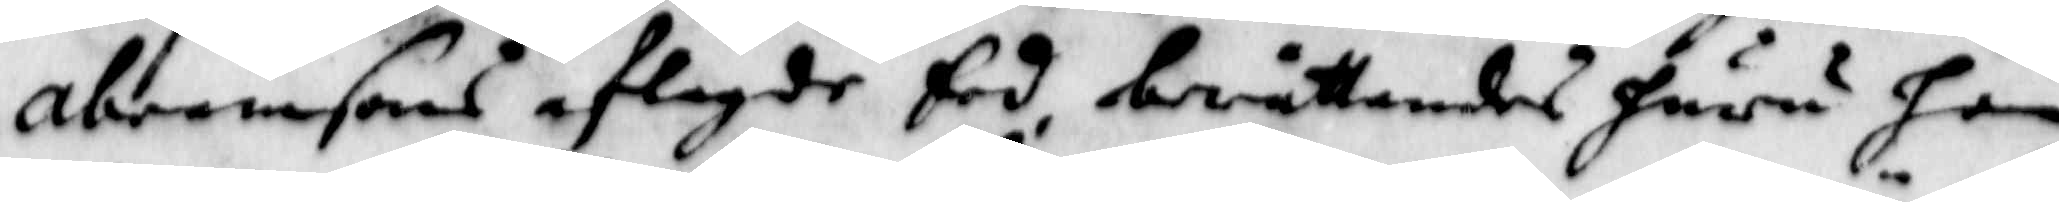abramsons aflagde Eed, berättandes huru han
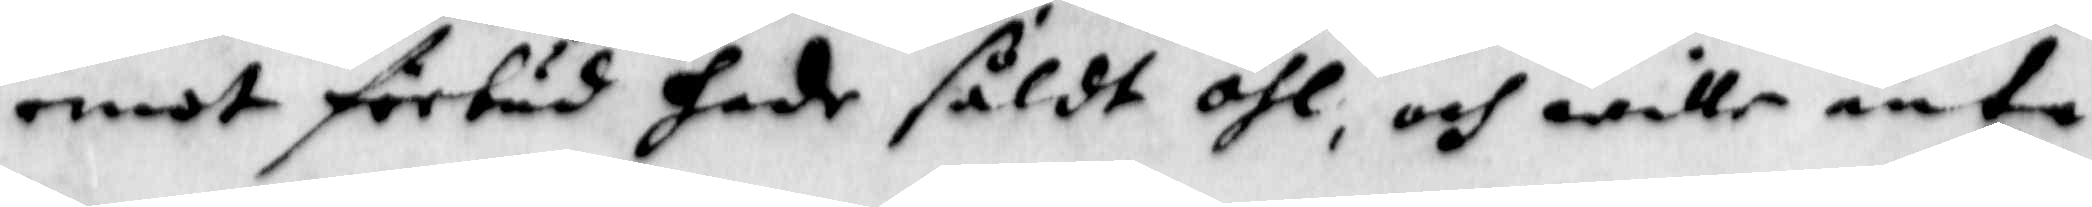emot förbud hade såldt öhl, och wille äntå
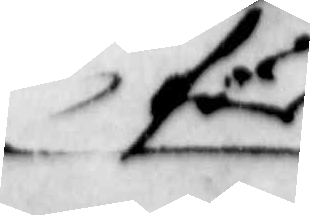för
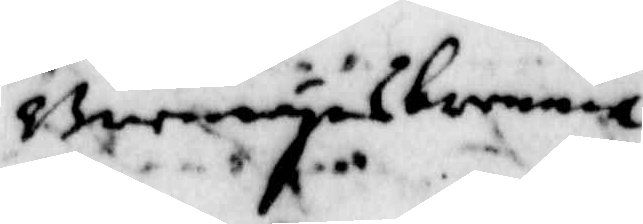Brennwynsbrennia
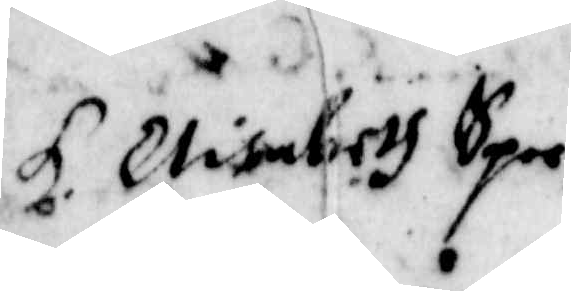H. Elisabeth Sper¬
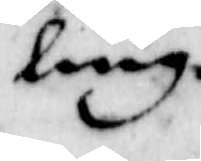ling.
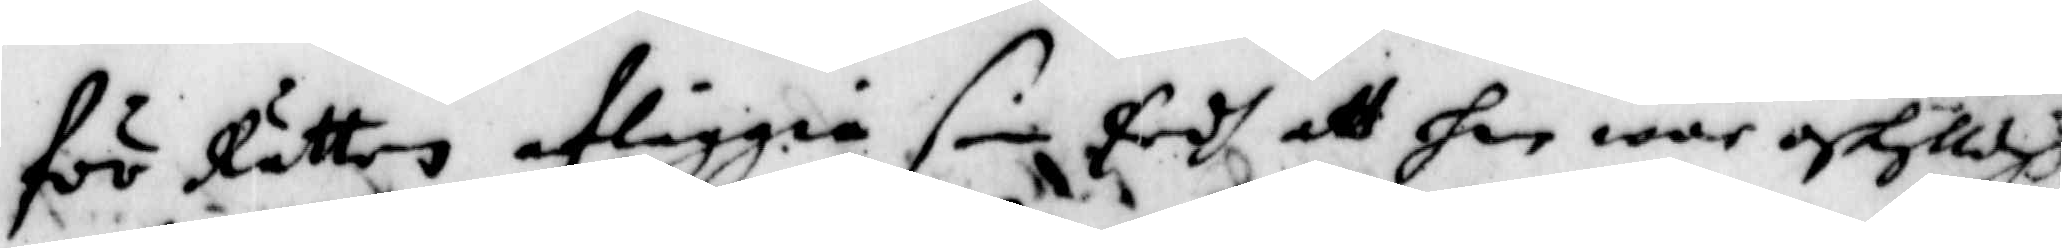för Rätten afläggia sin Eedh, att han war oskylldigh
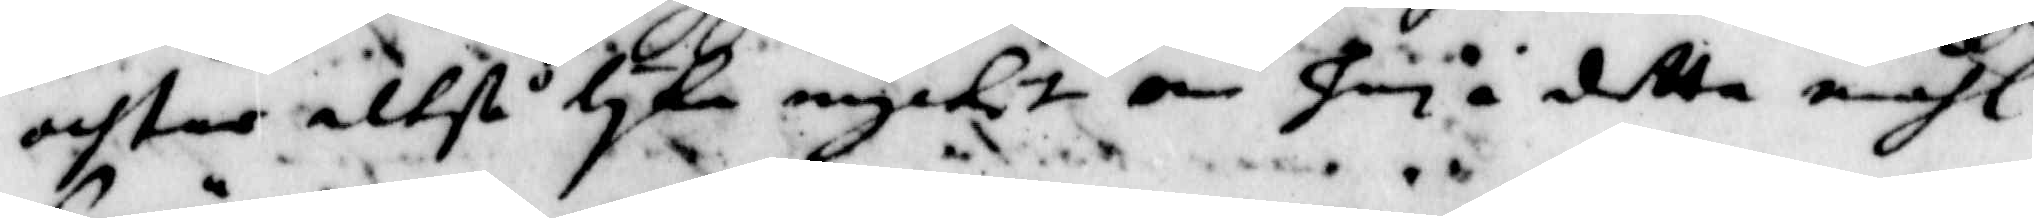achtas altså lyka mycket han i detta måhl
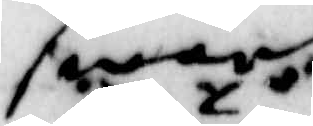swär.
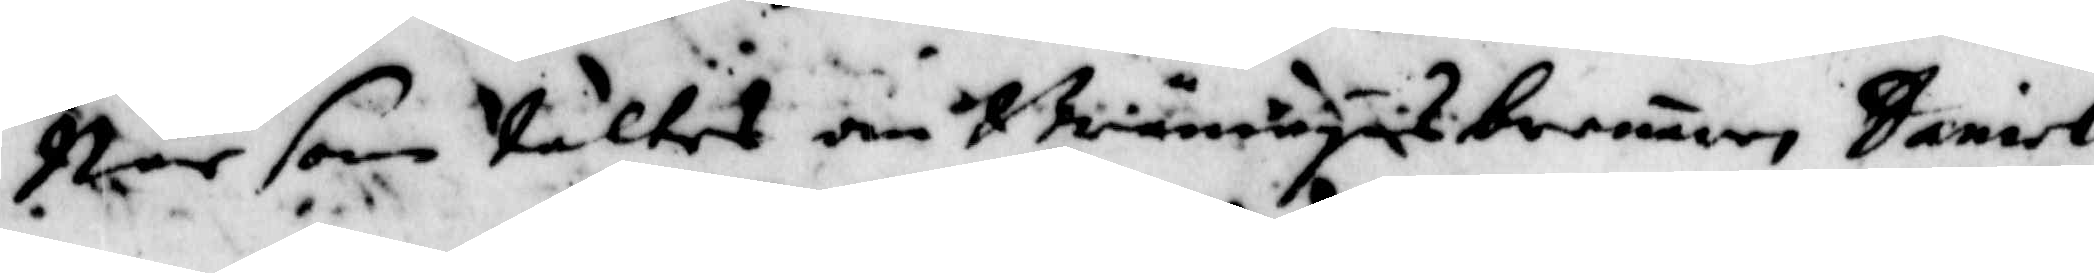När som kaltes en Brännwynsbränaren Daniel
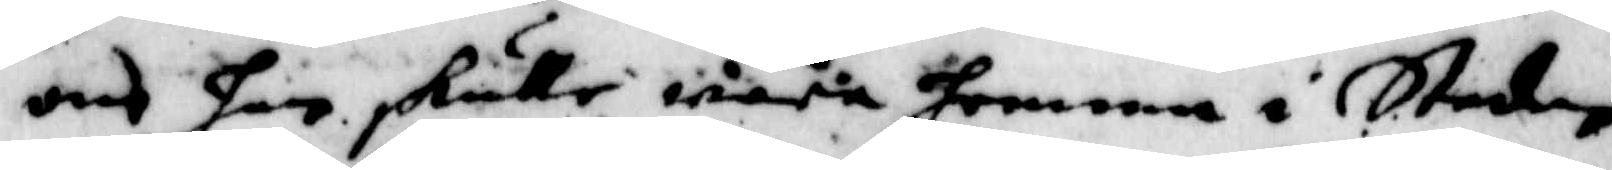och hans skulle wara hemma i Staden
